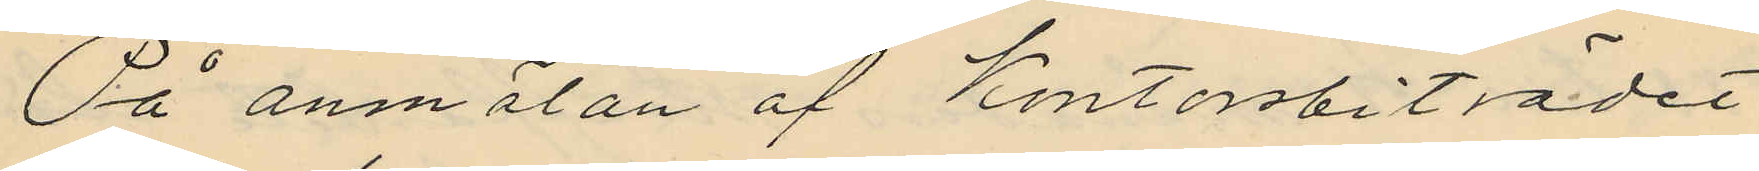På anmälan af Kontorsbiträdet
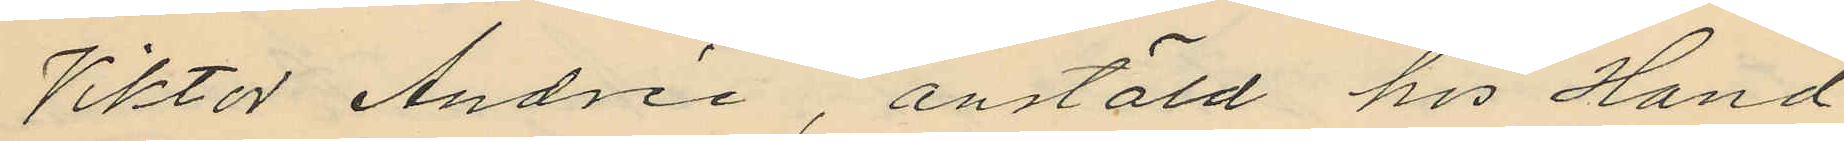Viktor Andrée, anstäld hos Hand
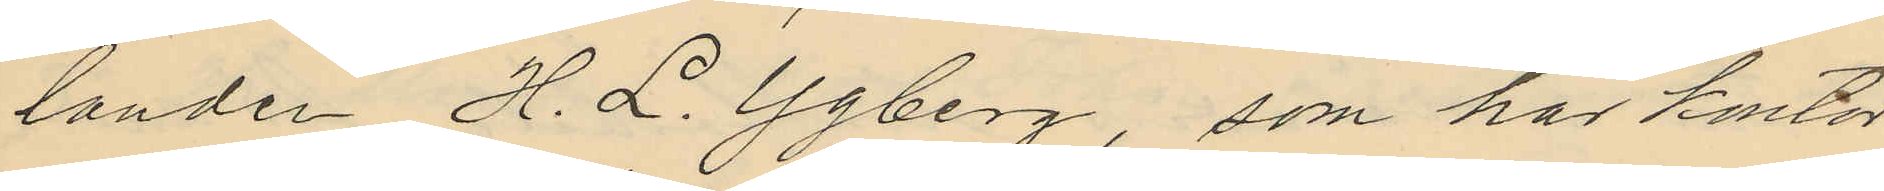landen H. L. Ygberg, som har kontor
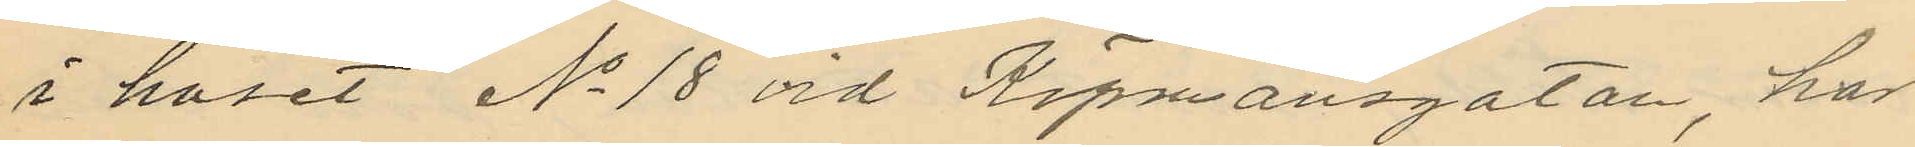i huset No 18 vid Köpmansgatan, har
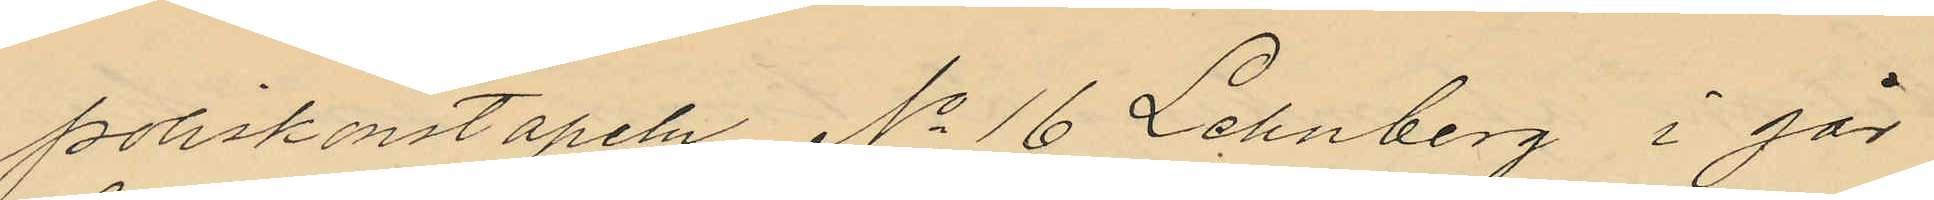poliskonstapeln No 16 Lehnberg i går
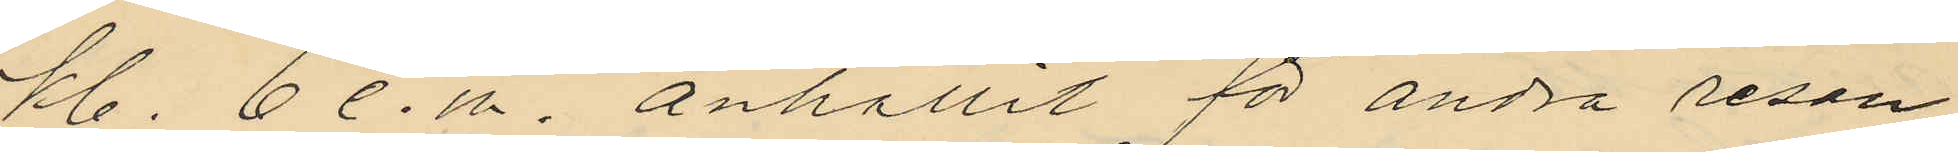kl. 6 e. m. anhållit för andra resan
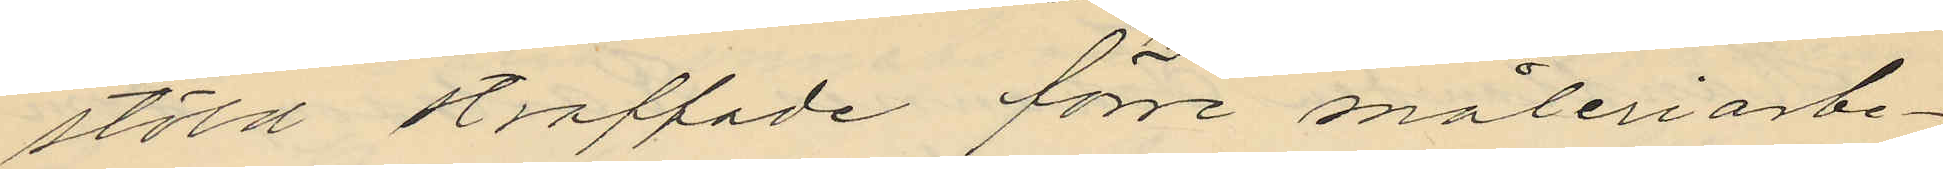stöld straffade förre måleriarbe¬
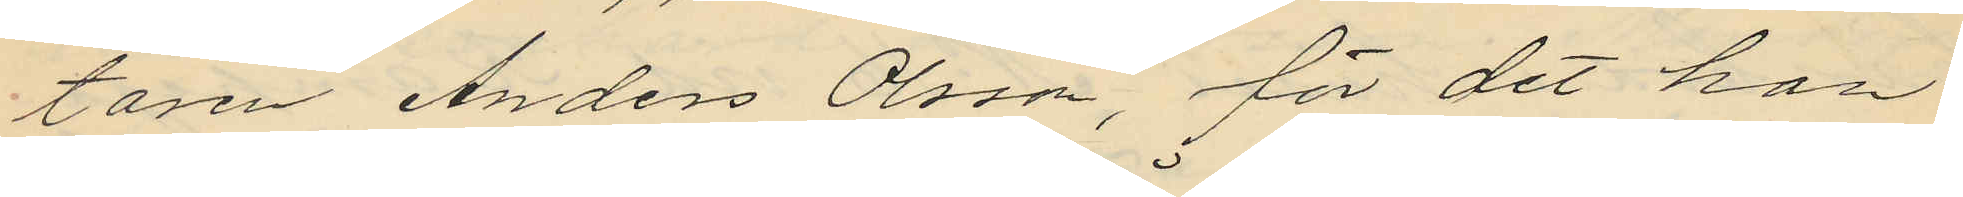taren Anders Olsson, för det han
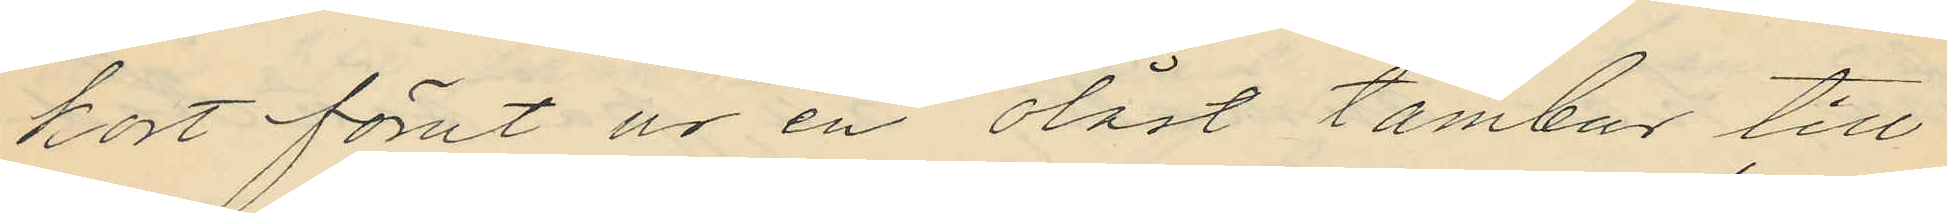kort förut ur en olåst tambur till
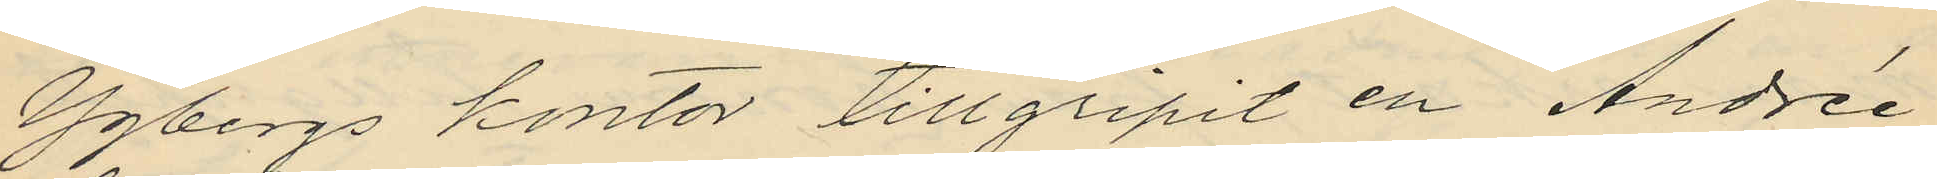Ygbergs kontor tillgripit en Andrée
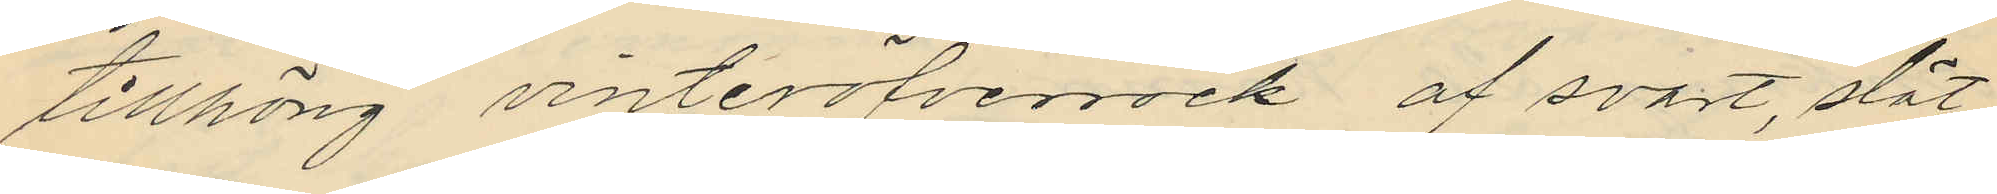tillhörig vinteröfverrock af svart, slät
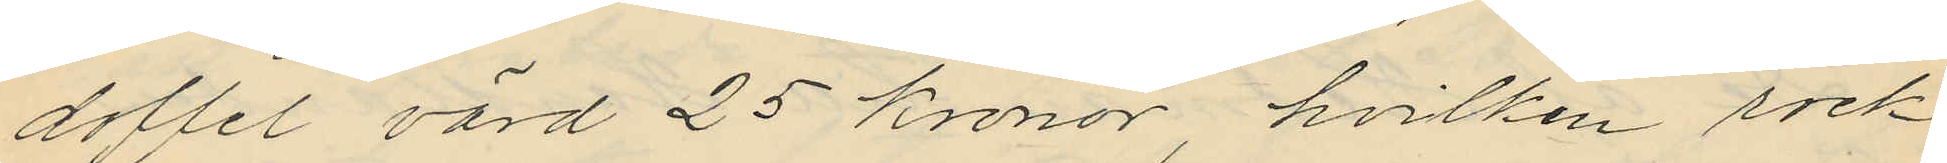doffel värd 25 kronor, hvilken rock
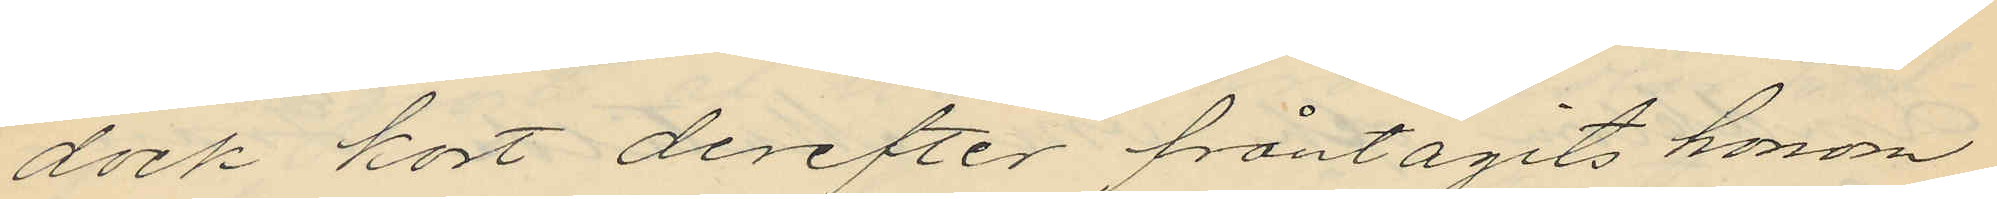dock kort derefter fråntagits honom
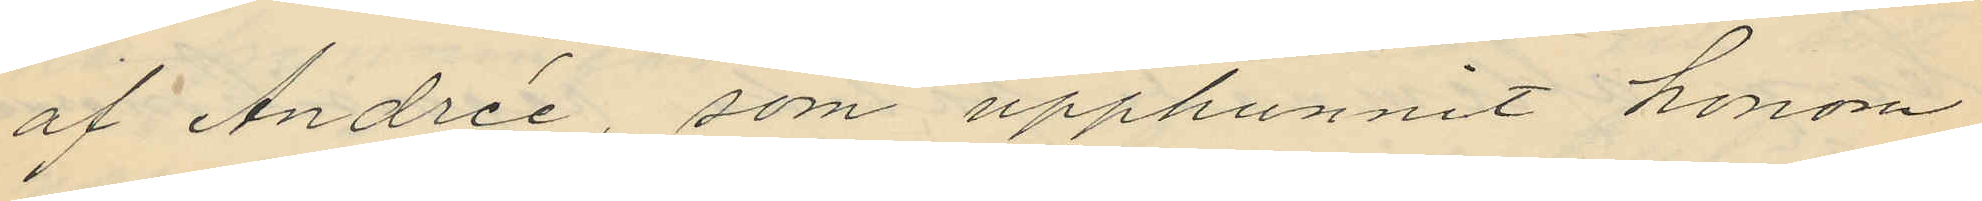af Andrée, som upphunnit honom
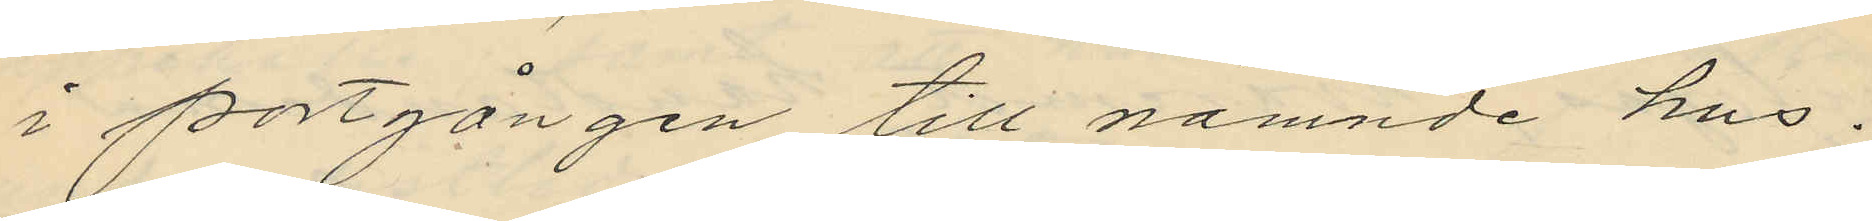i portgången till nämnde hus.
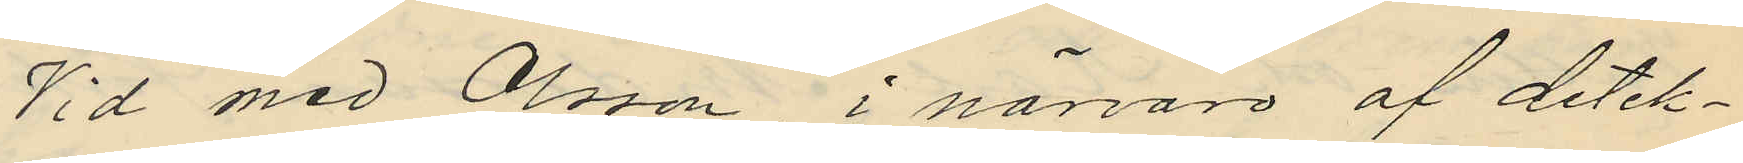Vid med Olsson, i närvaro af detek¬
